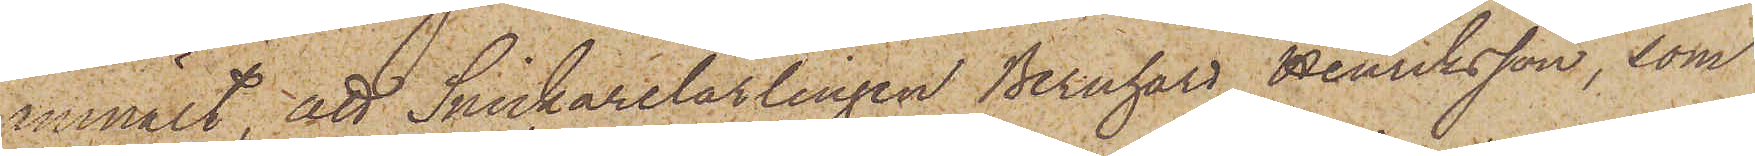anmält, att Snickarelärlingen Bernhard Henriksson, som
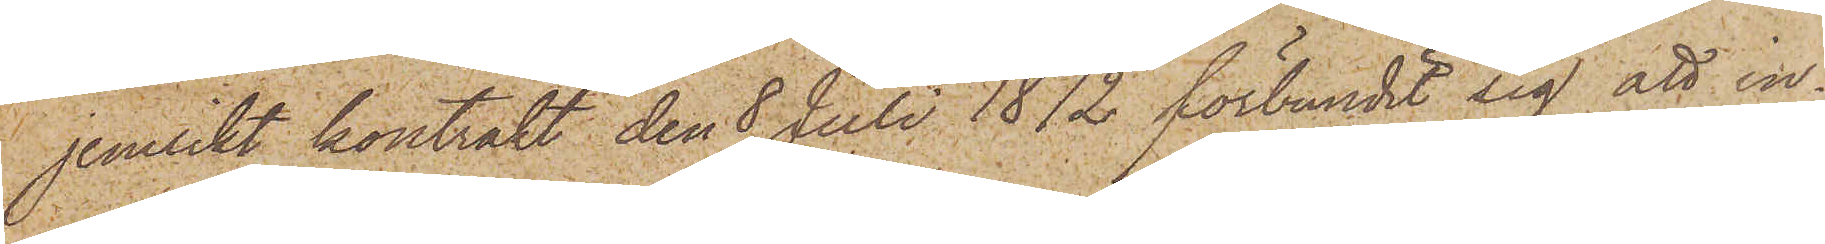jemlikt kontrakt den 8 Juli 1872 förbundit sig att in¬
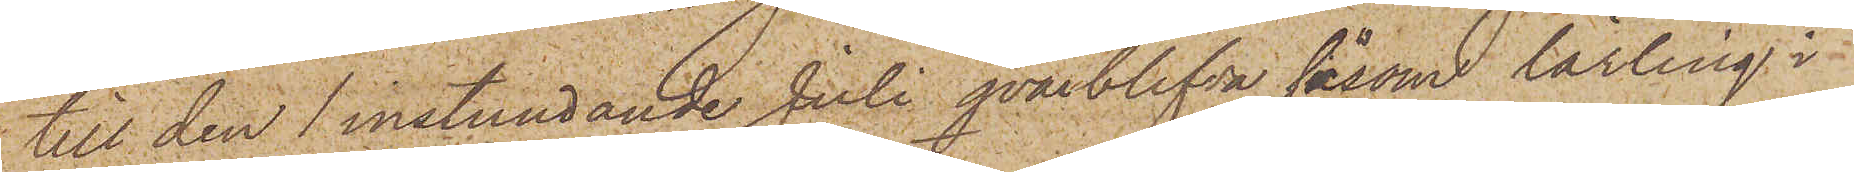till den 1 instundande Juli qvarblifva såsom lärling i
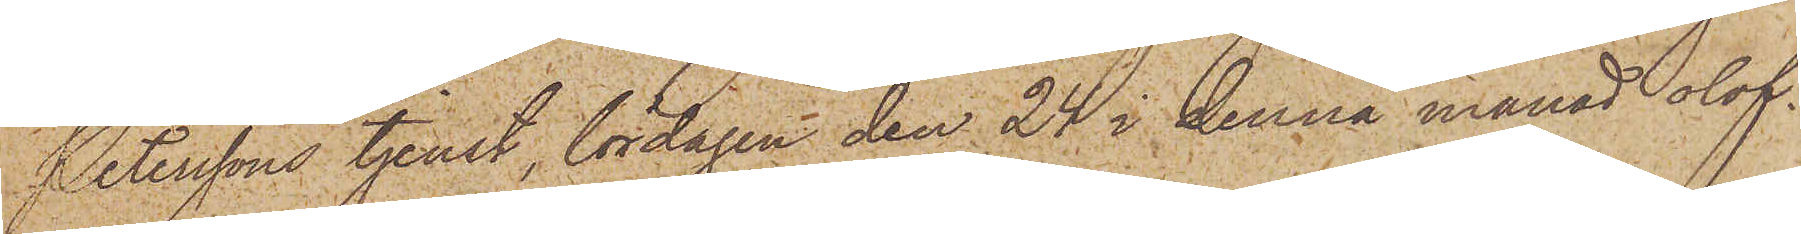Peterssons tjenst, lördagen den 24 i denna månad olof¬
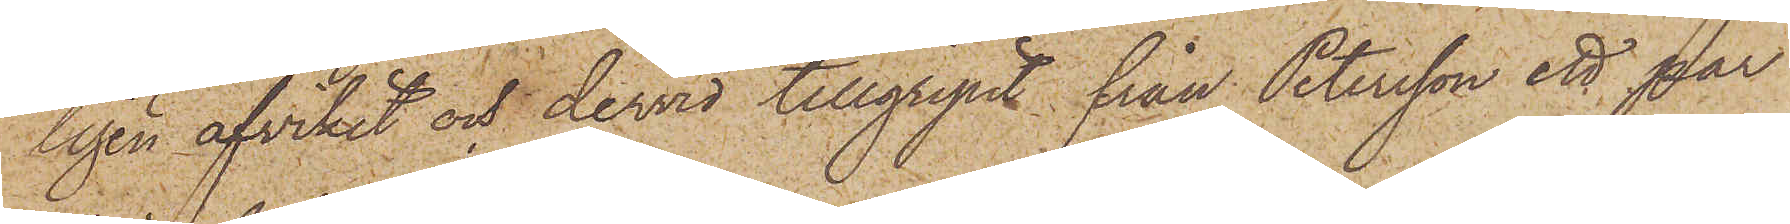ligen afvikit och dervid tillgripit från Petersson ett par
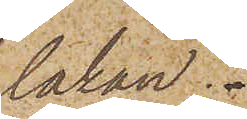lakan.
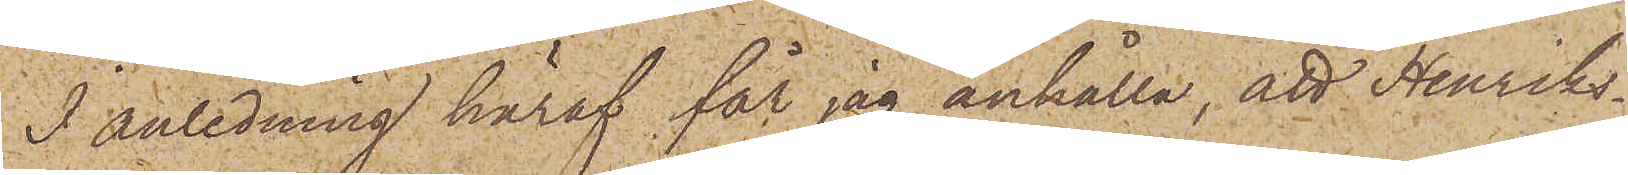I anledning häraf får jag anhålla, att Henriks¬
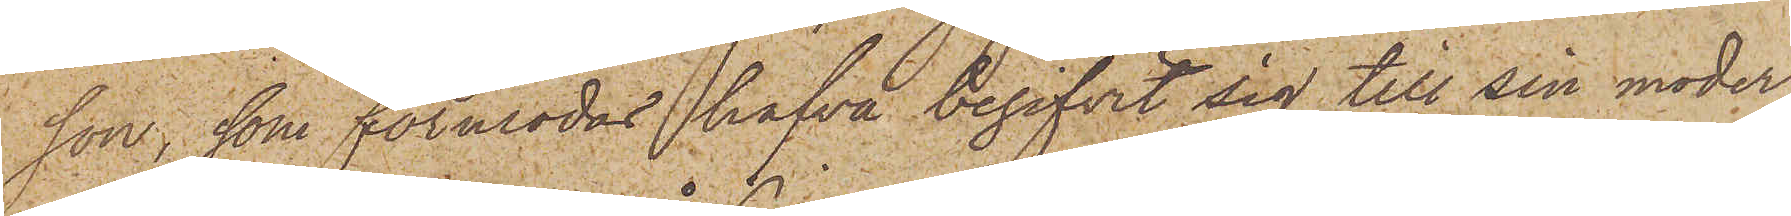son, som förmodas hafva begifvit sig till sin moder
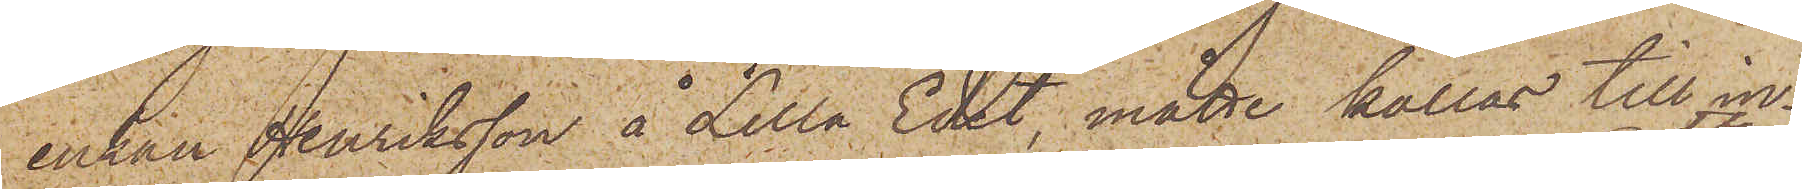enkan Henriksson å Lilla Edet måtte kallas till in¬
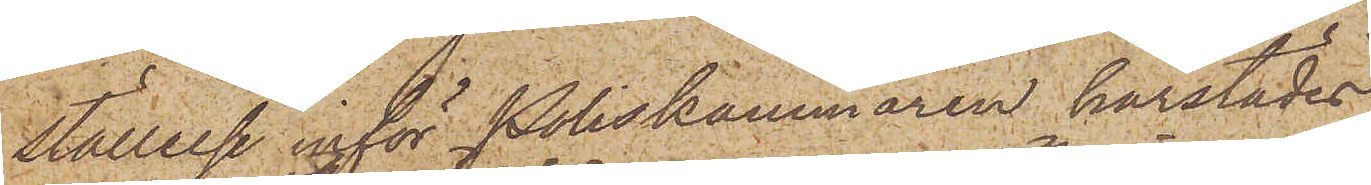ställelse inför Poliskammaren härstädes
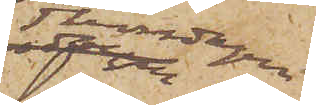Thorsdagen
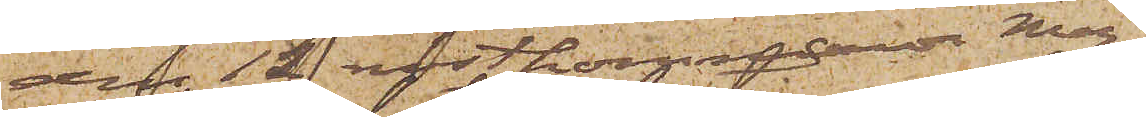den 12 nästkommande Maj,
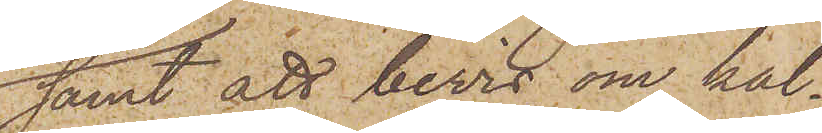samt att bevis om kal¬
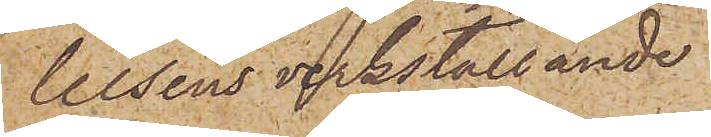lelsens verkställande
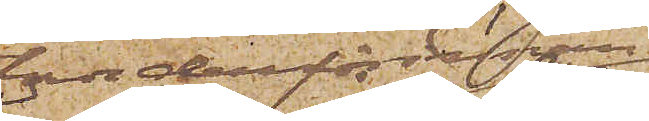torde derförinnan
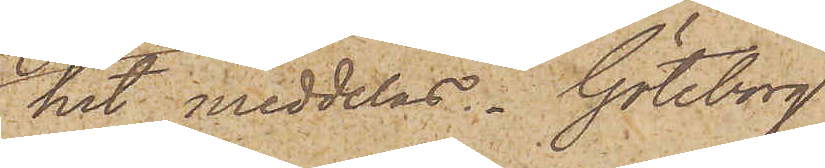hit meddelas. Göteborg
